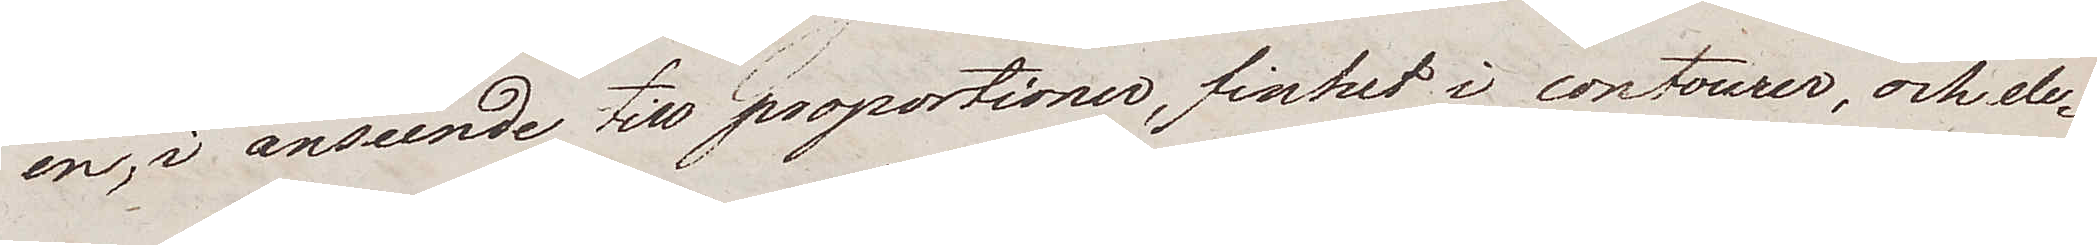en, i anseende till proportioner, finhet i contourer, och ele¬
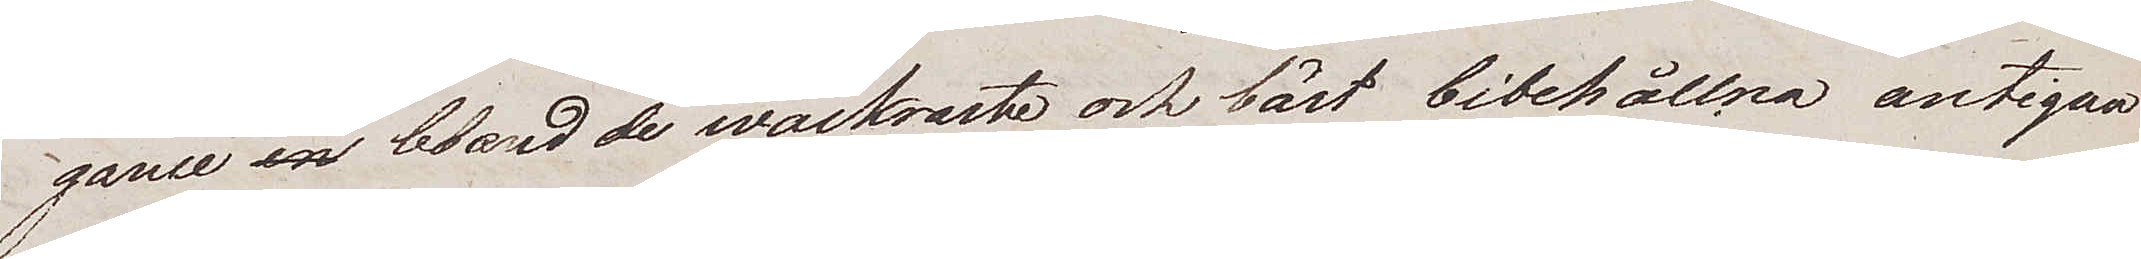gance en bland de wackraste och bäst bibehållna antiqua
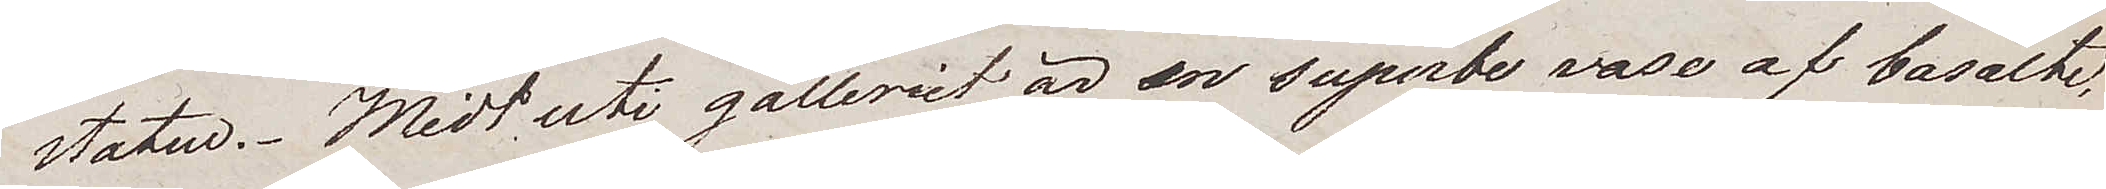stature. Midt uti galleriet är en superbe vase af basalte,
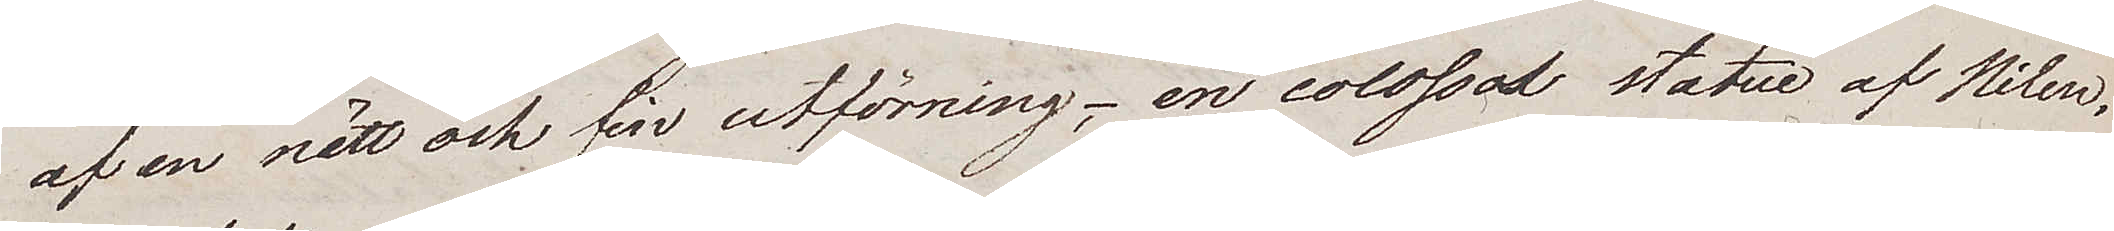af en nätt och fin utförning; en colossal statue af Hélen
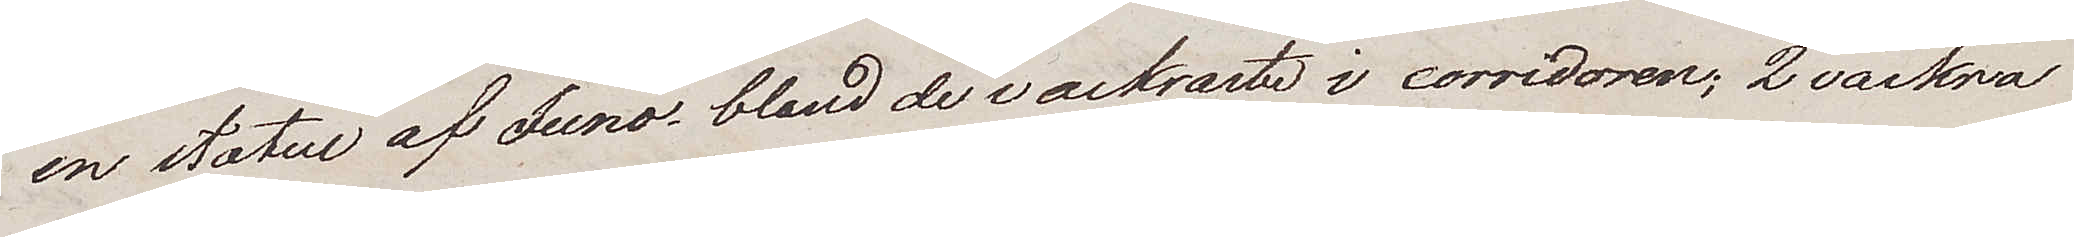en statue af Juno bland de vackraste i corridoren; 2 vackra
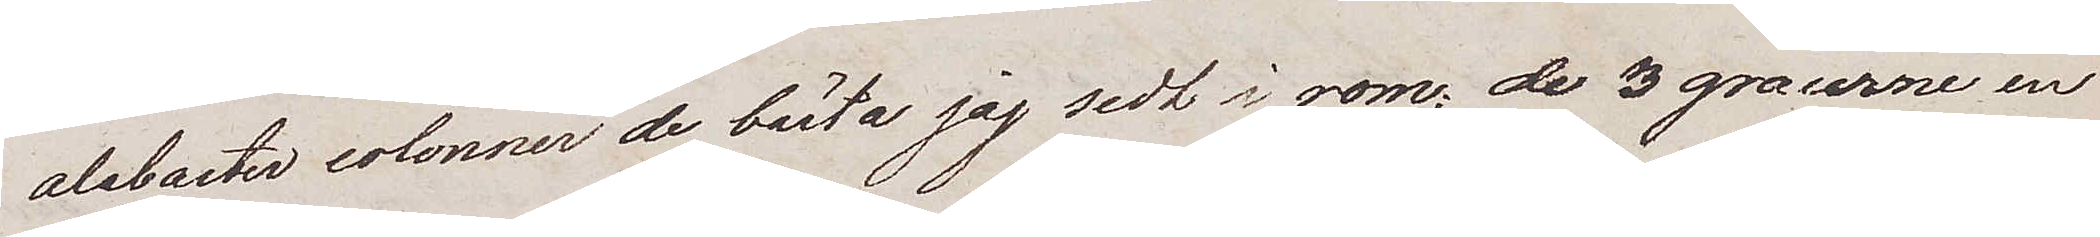alabaster colonner de bästa jag sedt i rom; de 3 gravurne, en
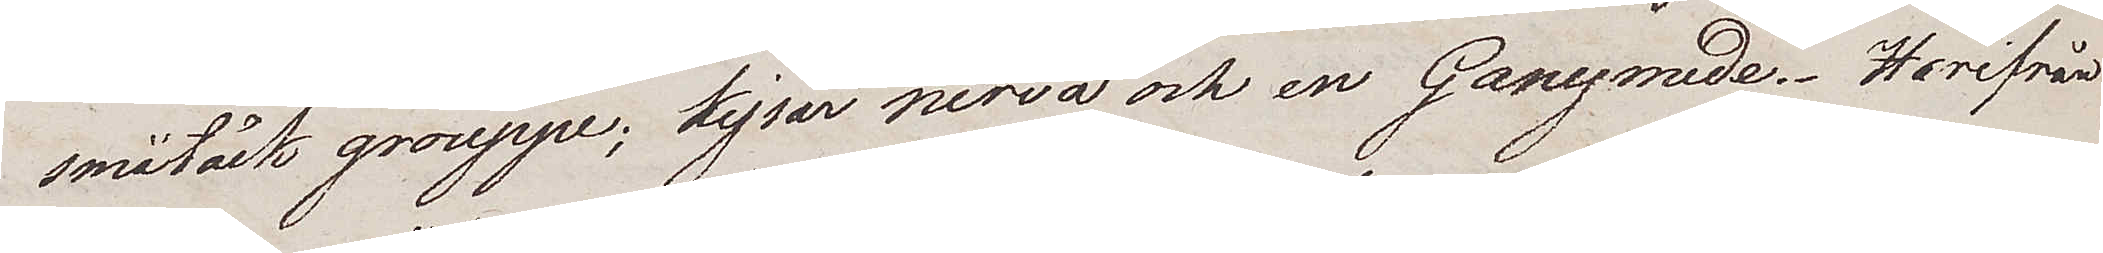småtäck grouppe; kejsar nerva och en Ganymede. Herifrån
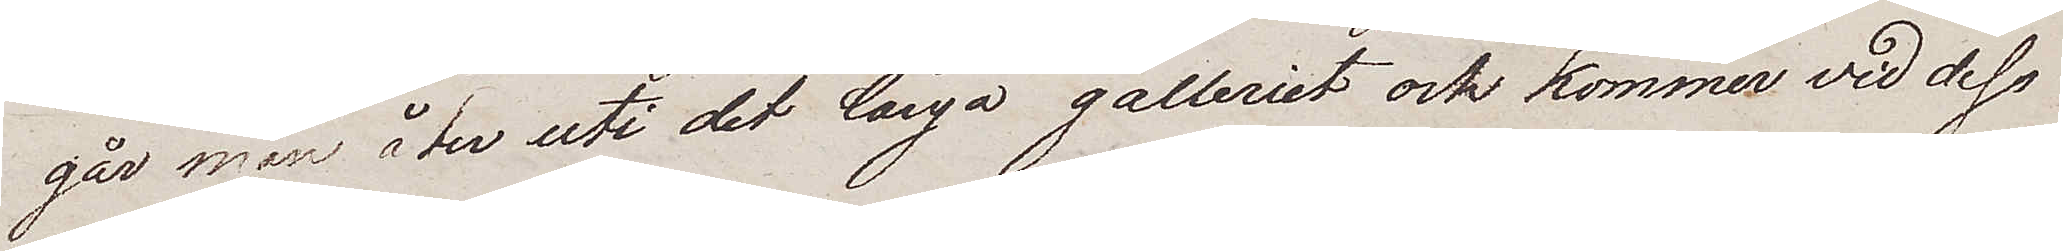går man åter uti det långa galleriet och kommer vid dess
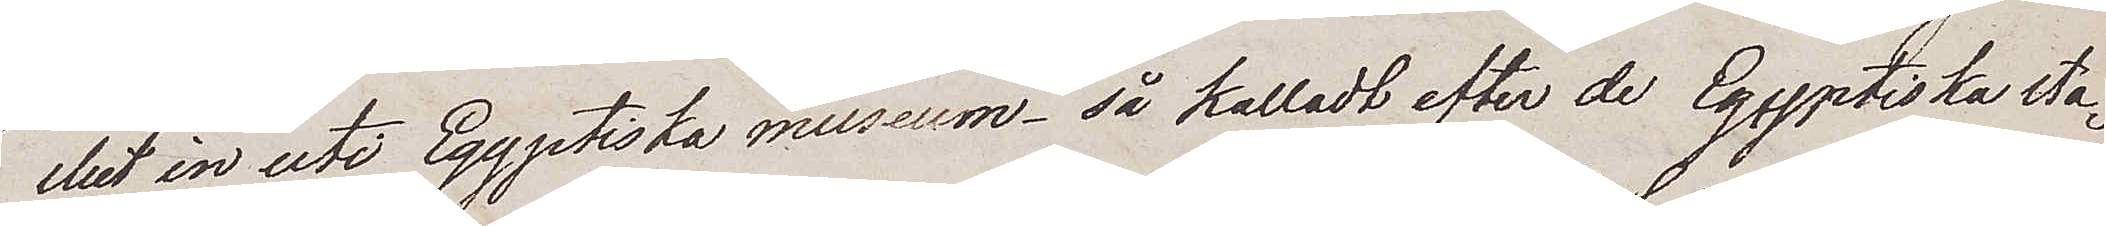slut in uti Egyptiska museum – så kalladt efter de Egyptiska sta¬
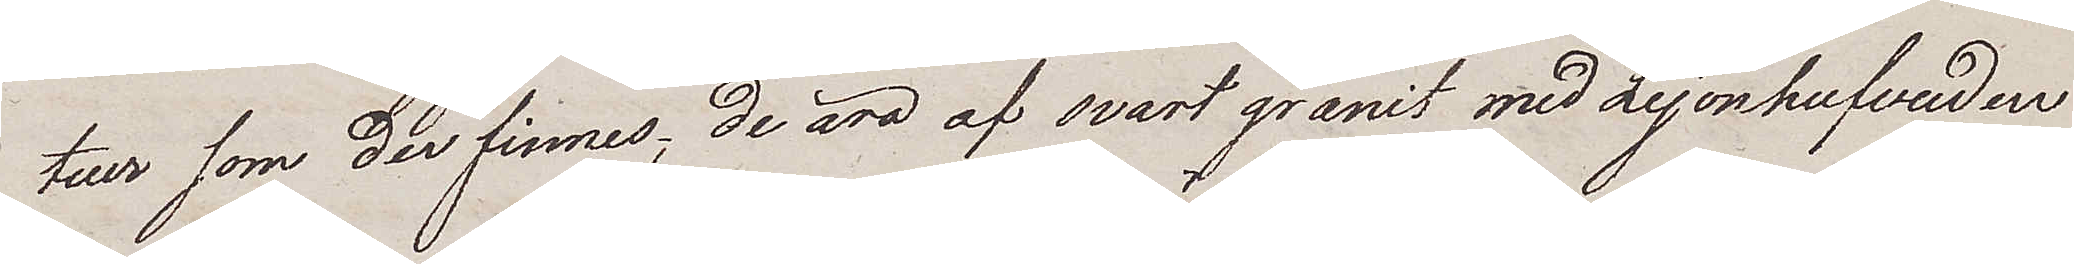tuer som der finnes; De äro af svart granit med Lejonhufvuden
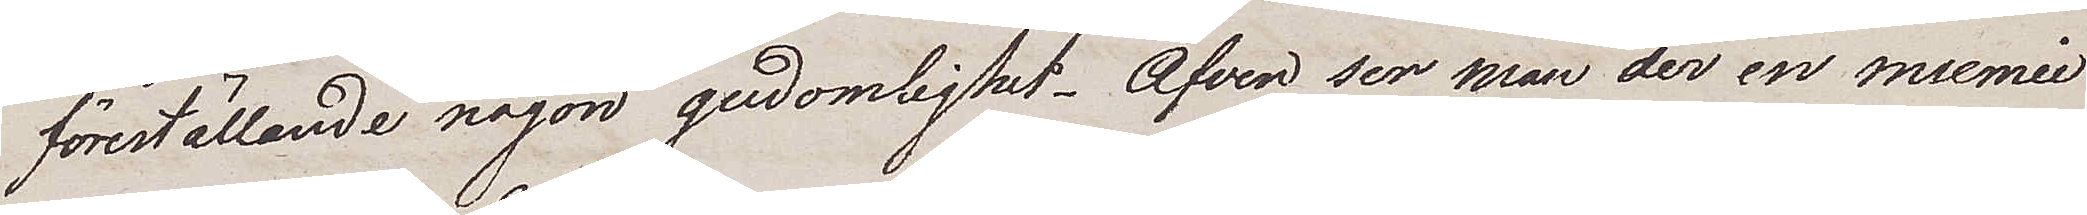föreställande någon gudomlighet. Äfven ser man der en mumie
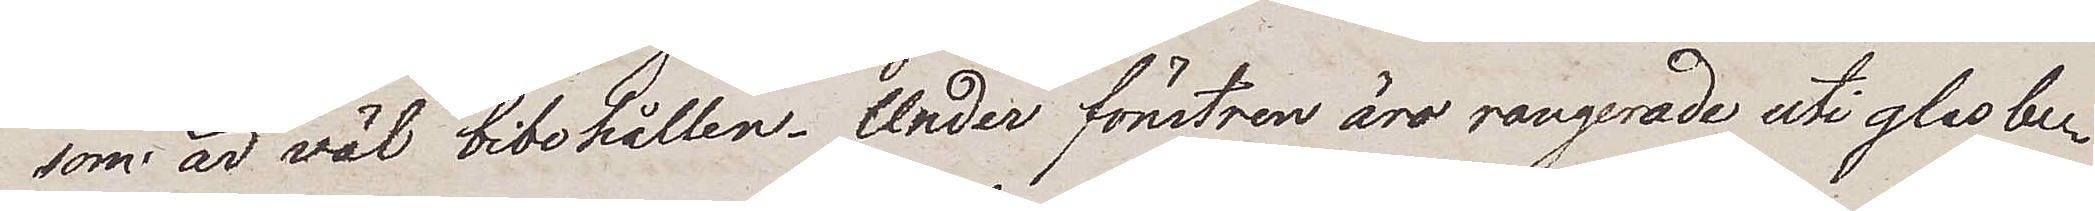som är väl bibehållen. Under fönstren äro rangerade uti glasbe¬
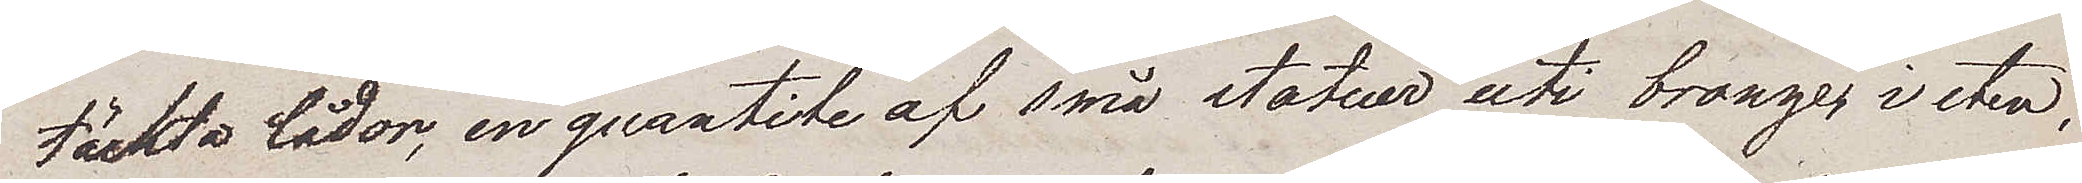täckta lådor, en quantite af små statuer uti bronze, i sten
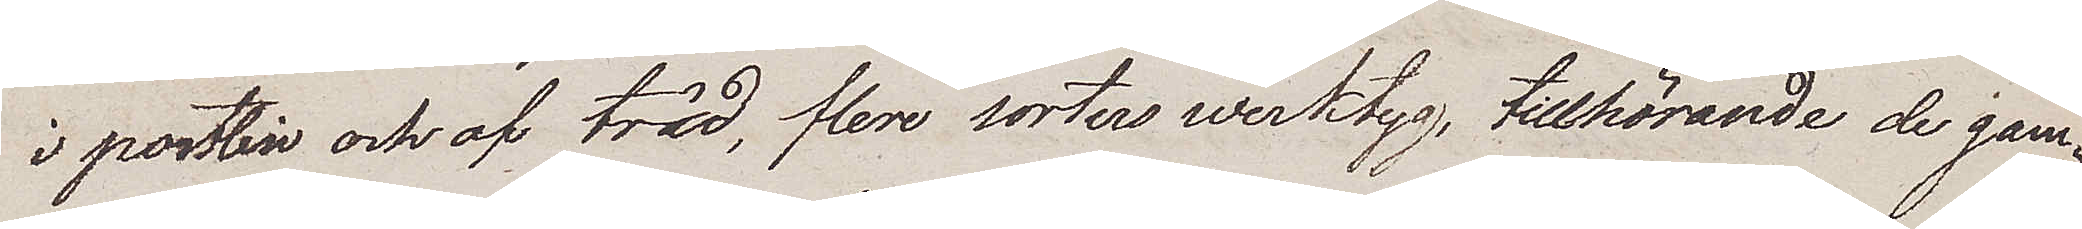i postelin och af träd, flere sorters werktyg, tillhörande de gam¬
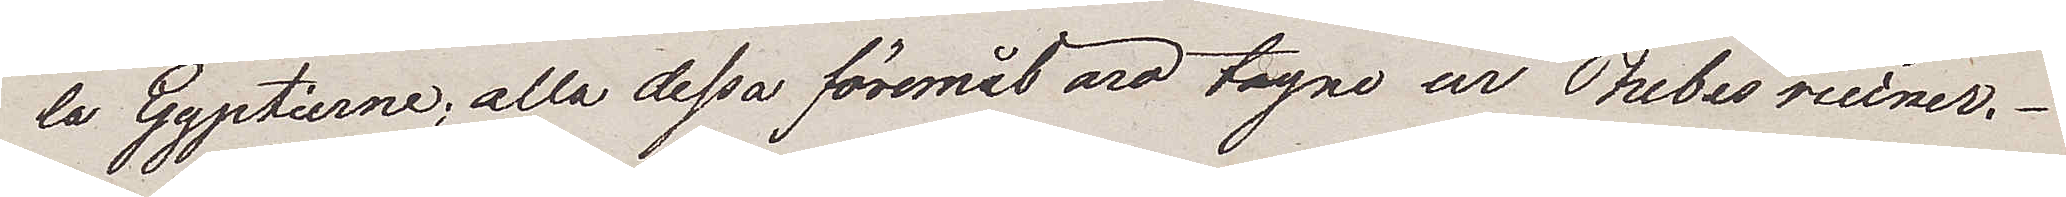la Egyptierne, alla dessa föremål äro tagne ur Thebes ruiner.
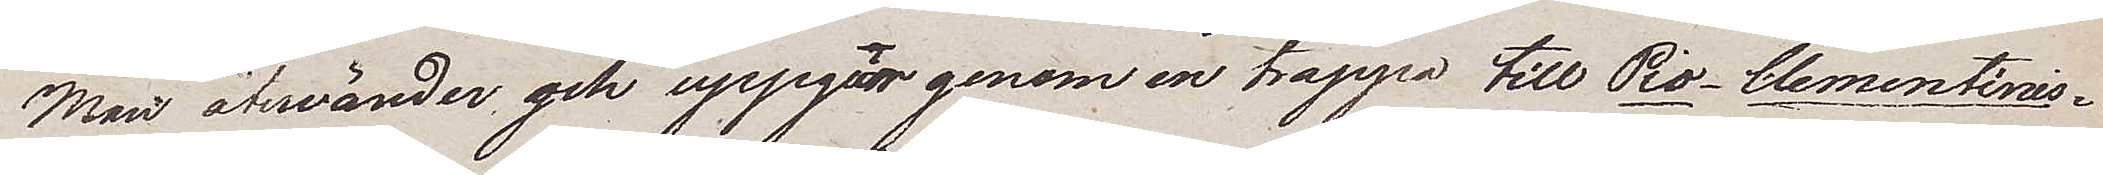Man återvänder, och uppgår genom en trappa till Pio- Clementinis¬
